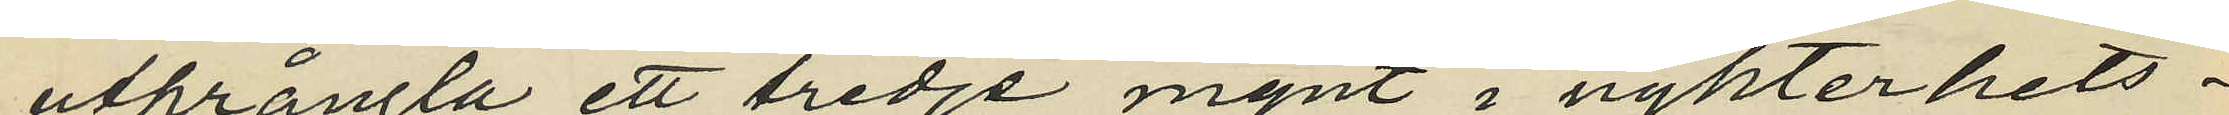utprångla ett tredje mynt i nykterhets¬
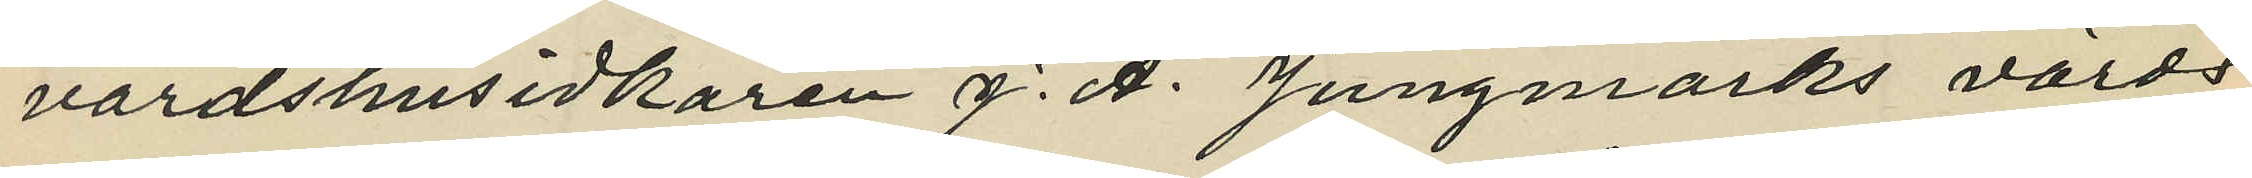värdshusidkaren J. A. Jungmarks värds¬
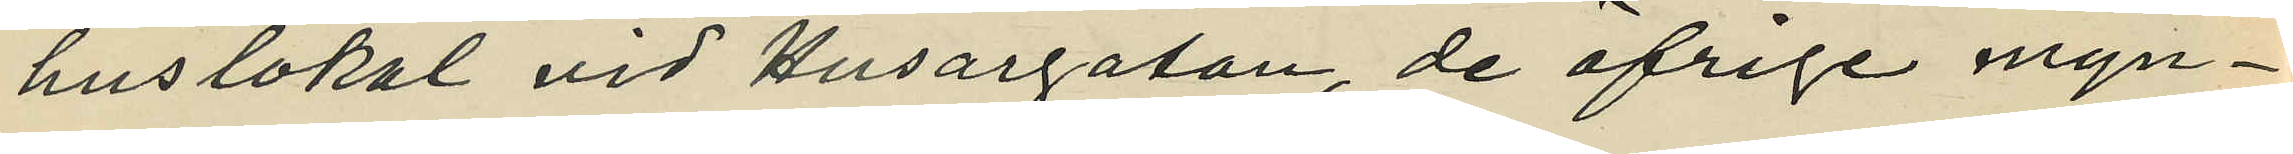huslokal vid Husargatan, de öfriga myn¬
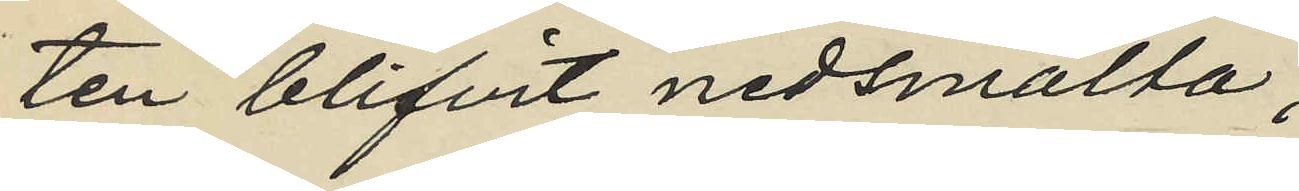ten blifvit nedsmälta;
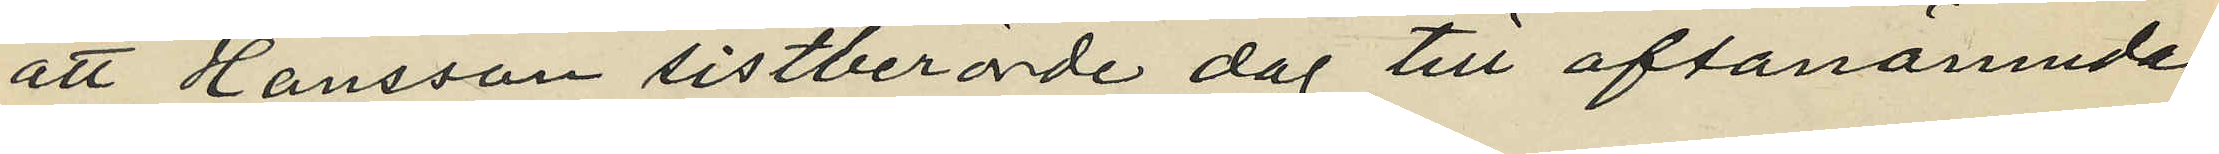att Hansson sistberörde dag till ofvanämnda
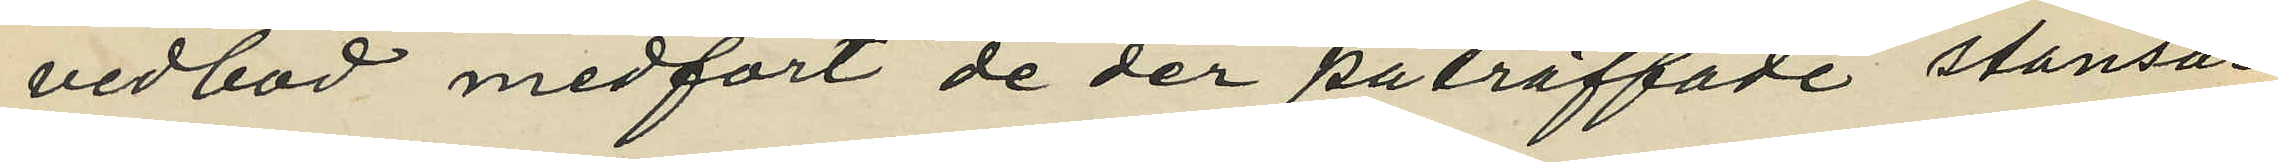vedbod medfört de der påträffade stansar¬
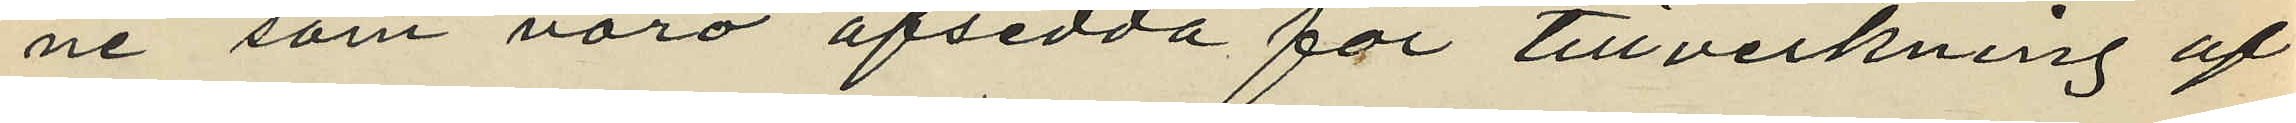na som voro afsedda för tillverkning af
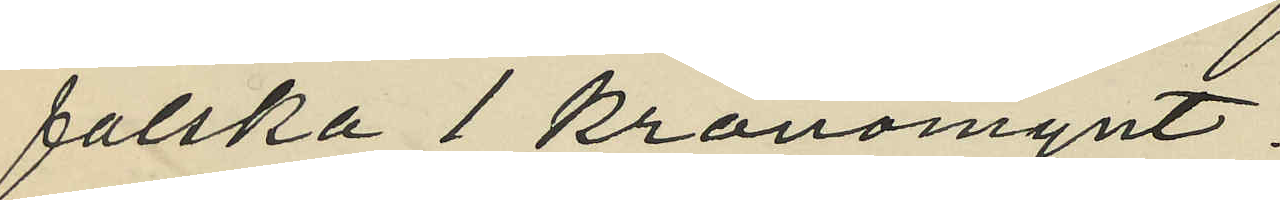falska 1 kronomynt;
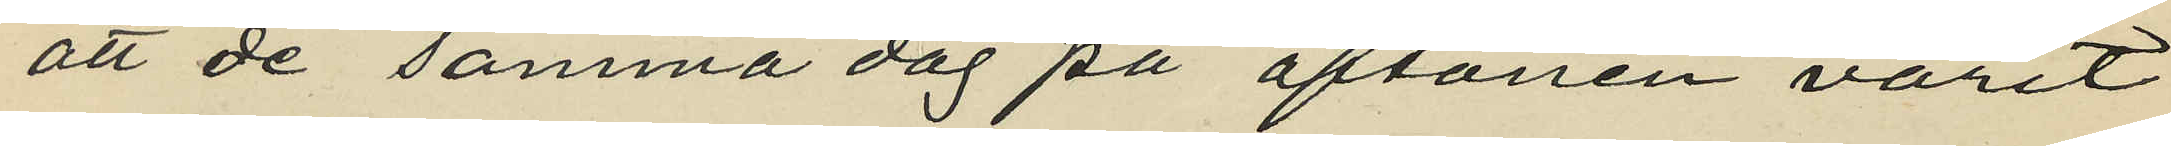att de samma dag på aftonen varit
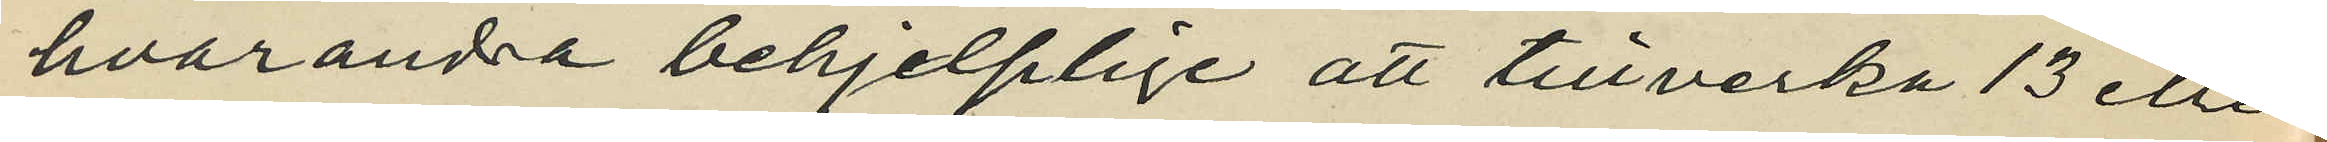hvarandra behjelplige att tillverka 13 eller
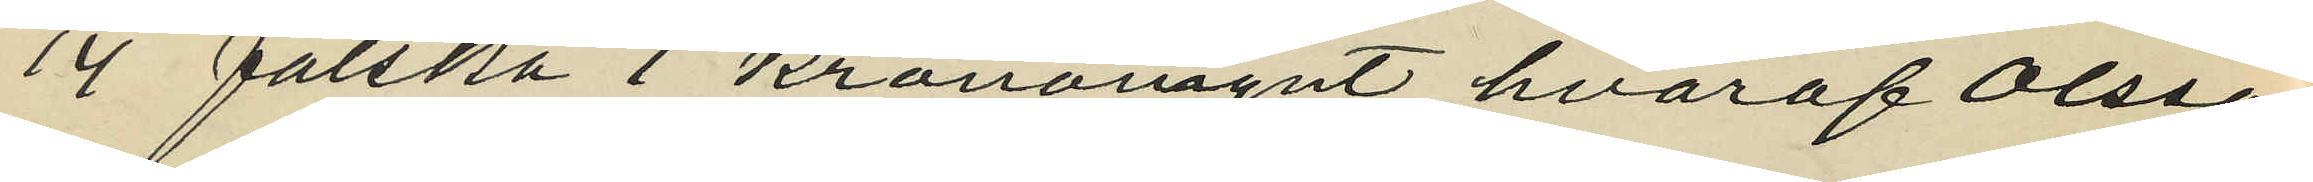14 falska 1 kronomynt, hvaraf Olsson
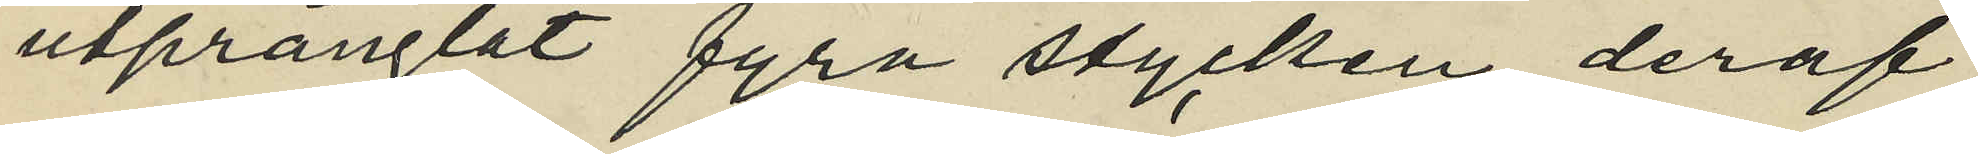utprånglat fyra stycken, deraf
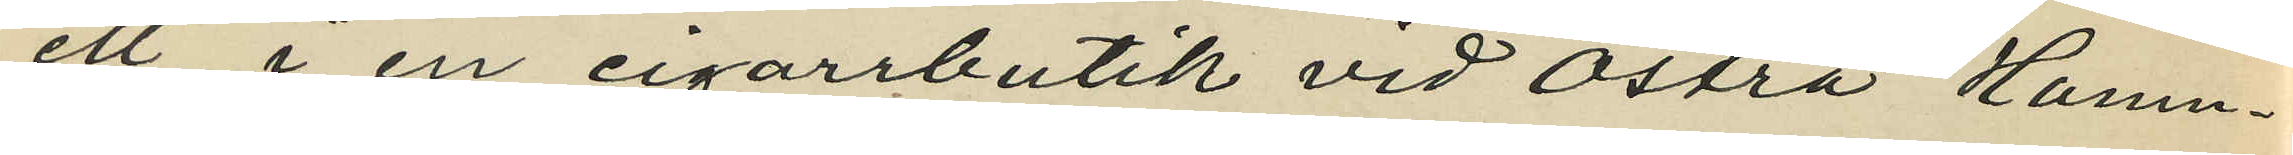ett i en cigarrbutik vid Östra Hamn¬
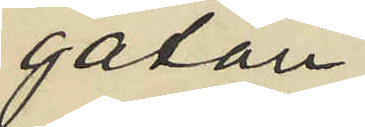gatan,
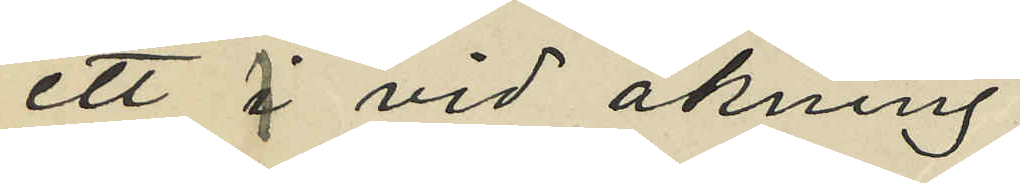ett 1 vid åkning
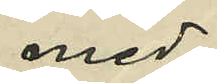med
